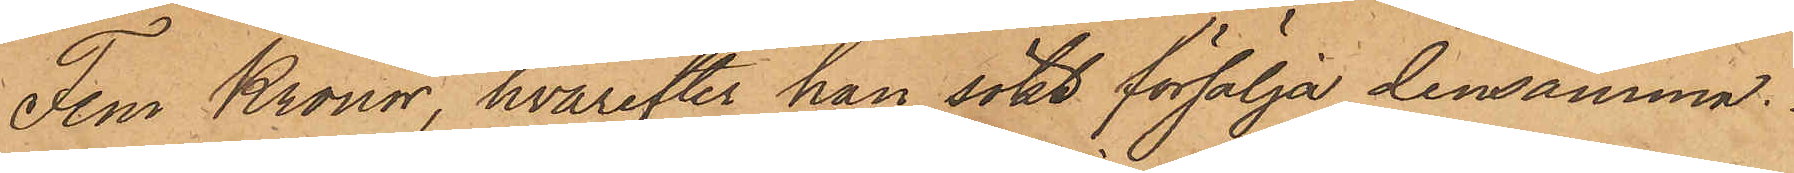Fem Kronor, hvarefter han sökt försälja densamma.
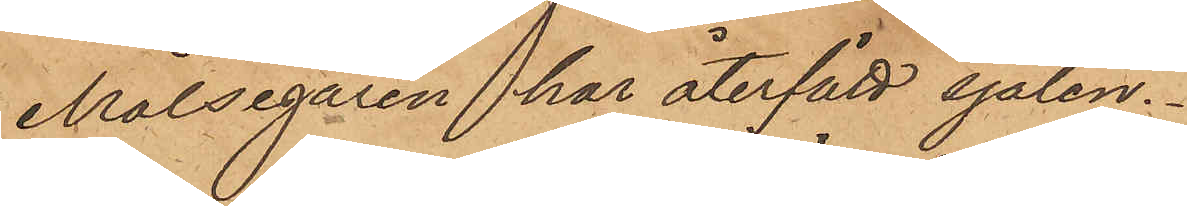Målsegaren har återfått sjalen.
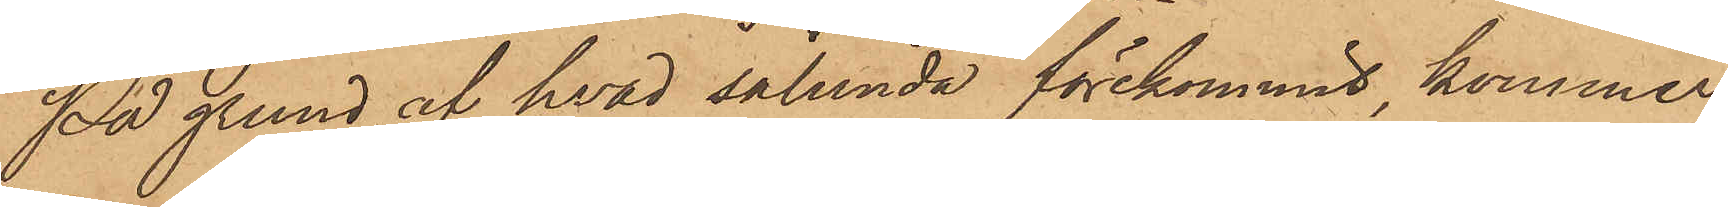På grund af hvad sålunda förekommit kommer
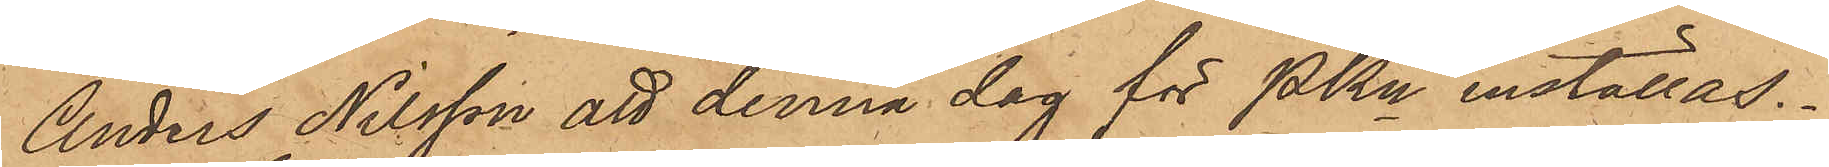Anders Nilsson att denna dag för PKn inställas.
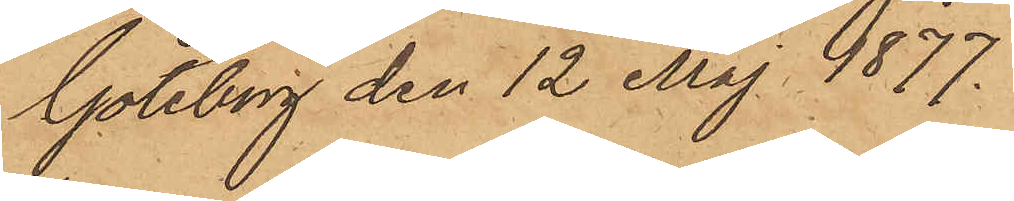Göteborg den 12 Maj 1877.
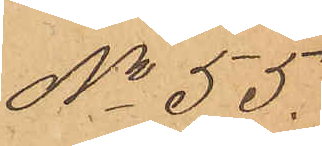No 55.
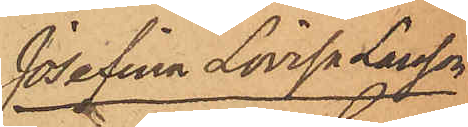Josefina Lovisa Larsson
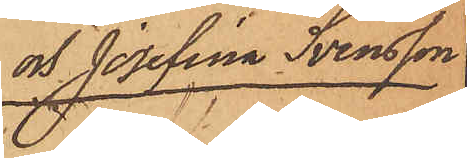och Josefina Svensson
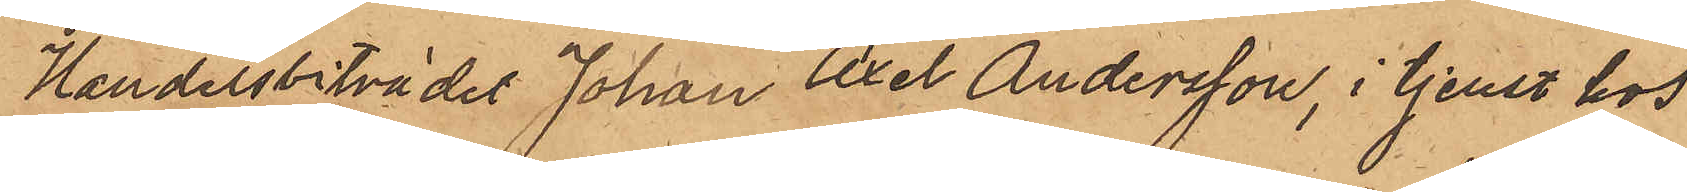Handelsbiträder Johan Axel Andersson, i tjenst hos
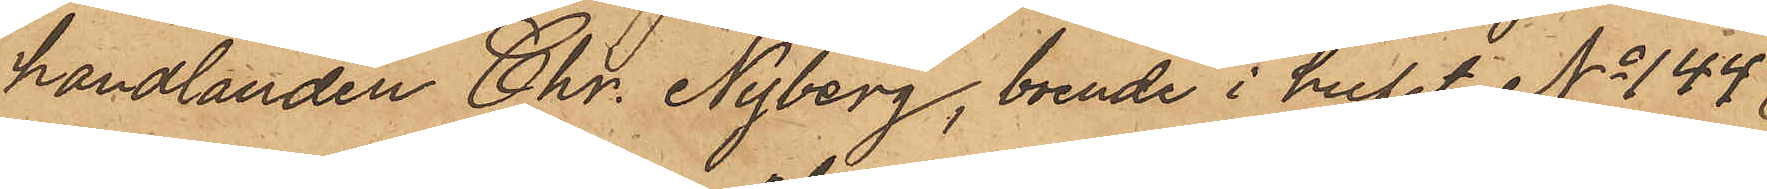handlanden Chr. Nyberg, boende i huset No 144
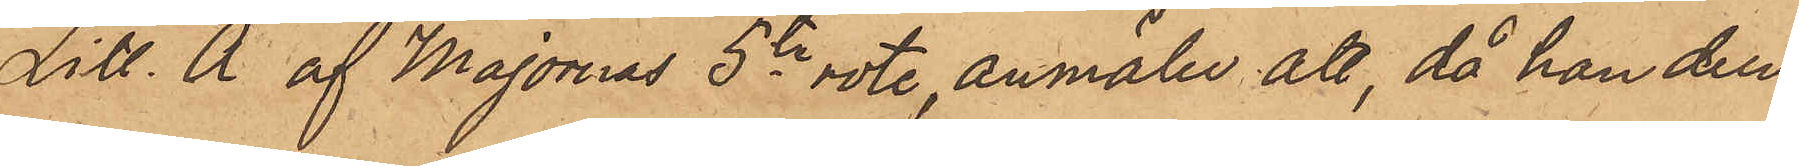Litt. A af Majornas 5te rote, anmält att, då han den
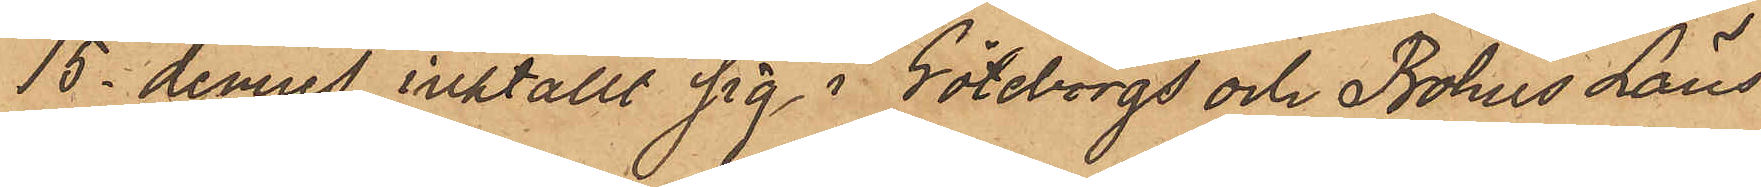15 dennes inställt sig i Göteborgs och Bohus Läns
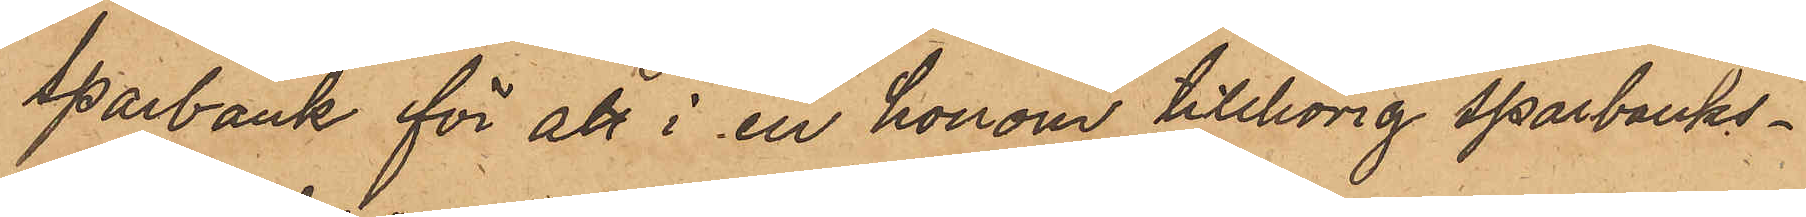sparbank för att i en honom tillhörig sparbanks¬
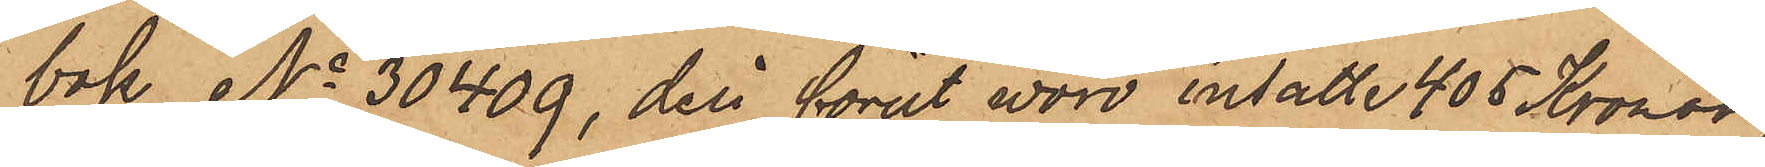bok No 30409, deri förut vore insatte 405 Kronor,
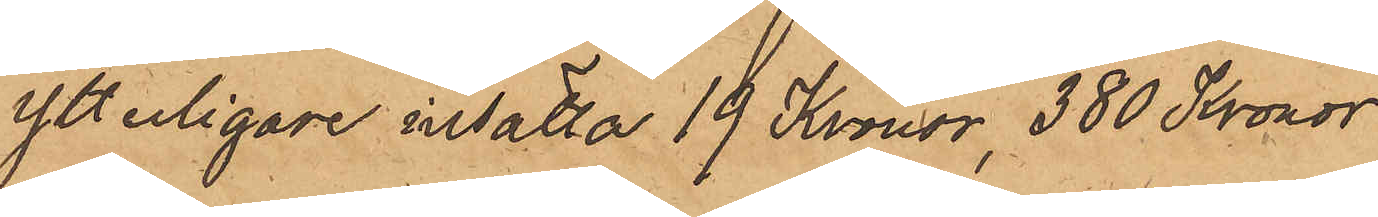ytterligare insatta 19 Kronor, 380 Kronor
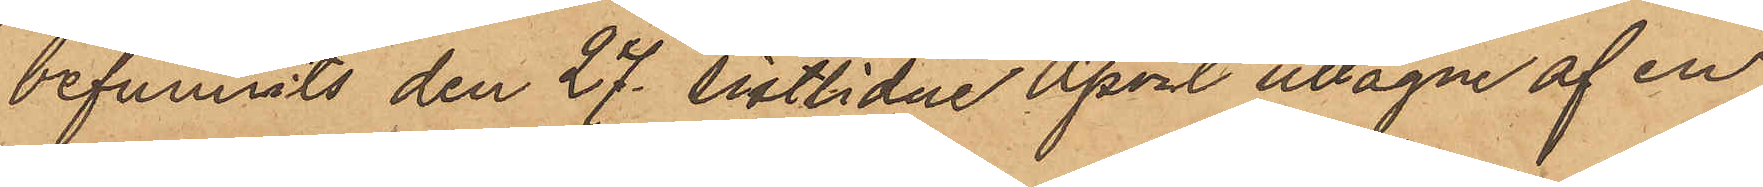befunnits den 27 sistlidne April uttagne af en
